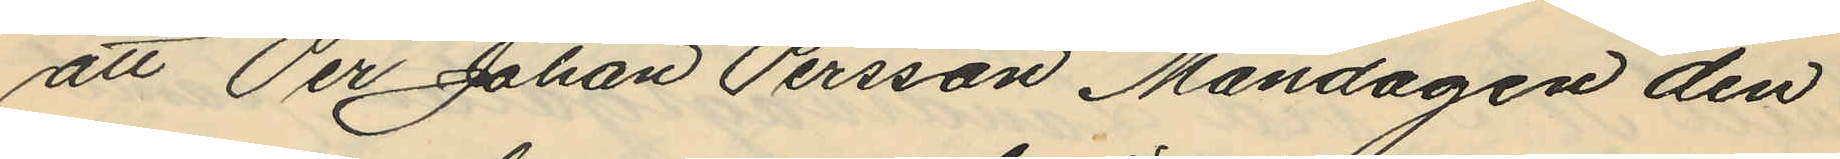att Per Johan Persson Måndagen den
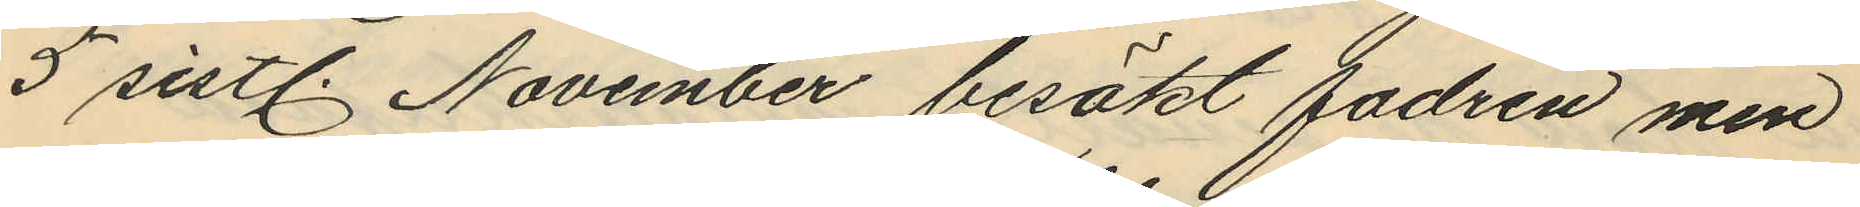5 sistl. November besökt fadren men
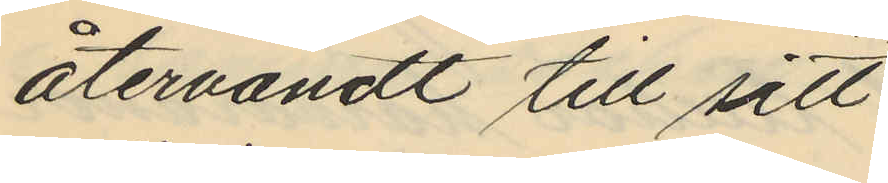återvändt till sitt
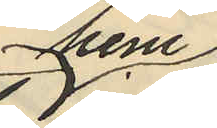hem
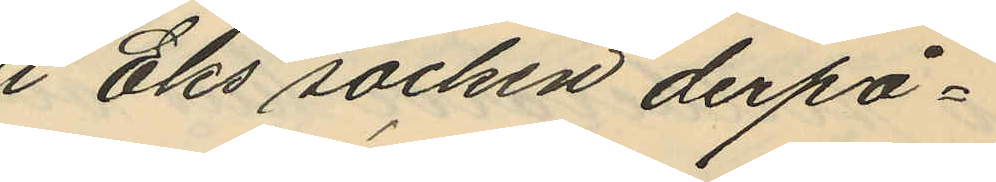i Eks socken derpå¬
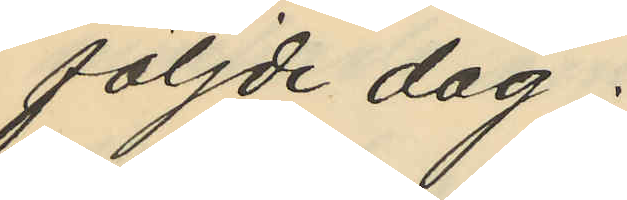följde dag.
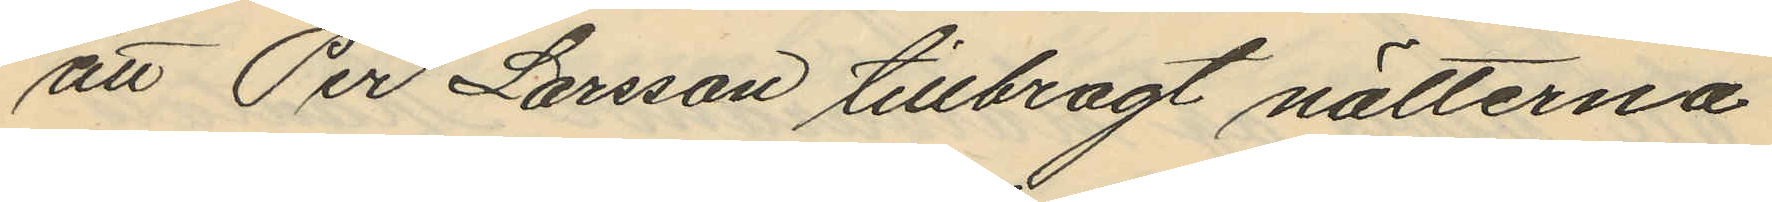att Per Larsson tillbragt nätterna
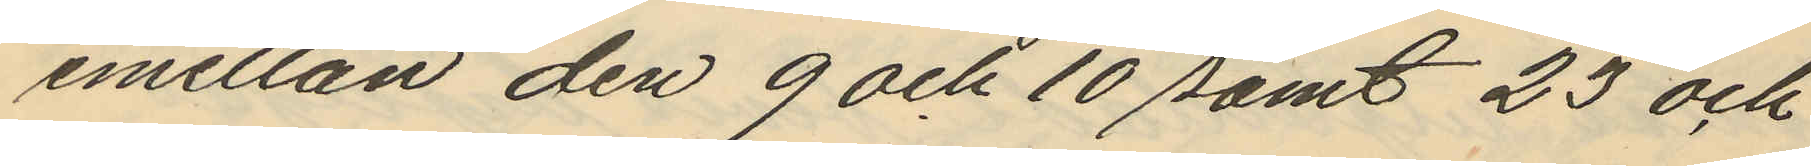emellan den 9 och 10 samt 23 och
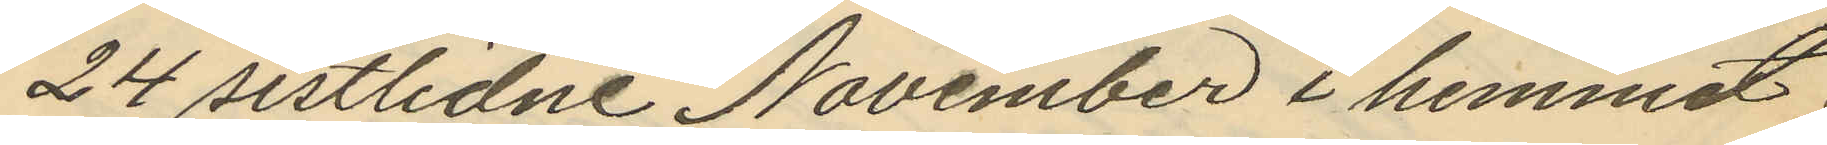24 sistlidne November i hemmet
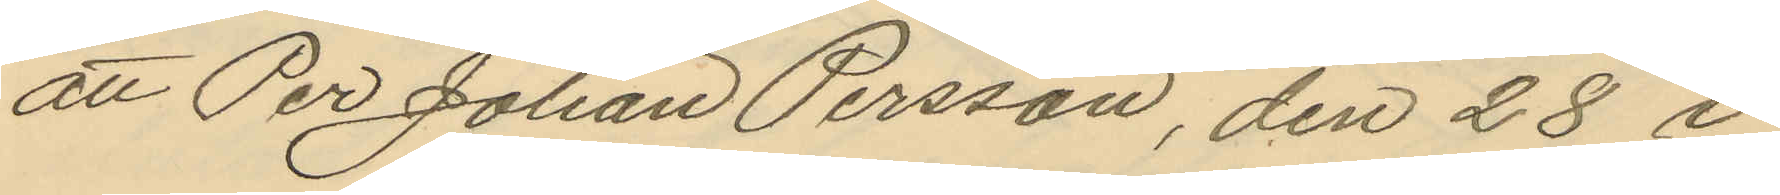att Per Johan Persson, den 28 i
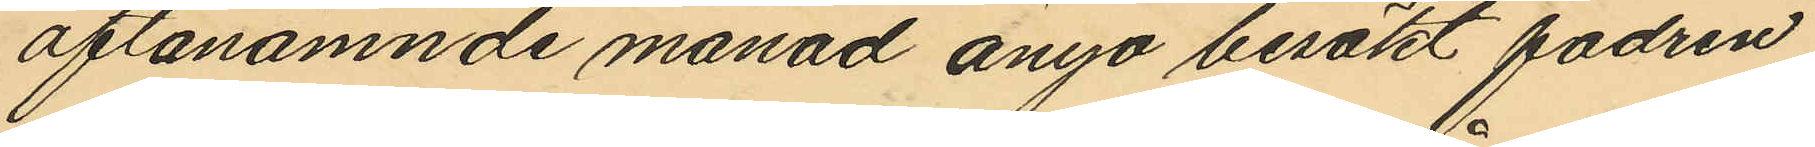oftanämnde månad ånyo besökt fadren
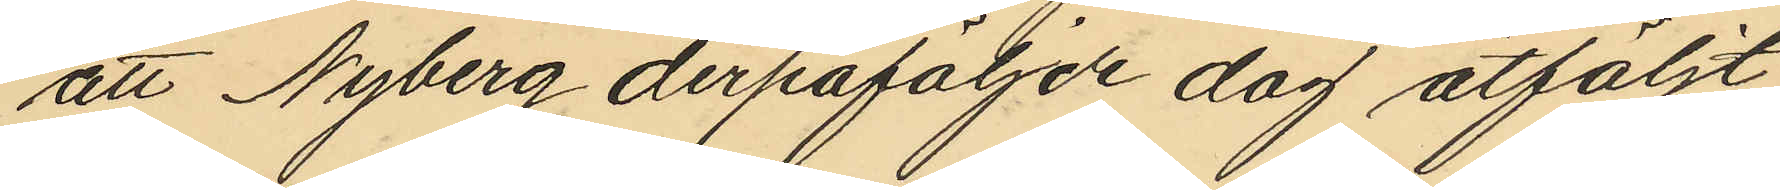att Nyberg derpåföljde dag åtföljt
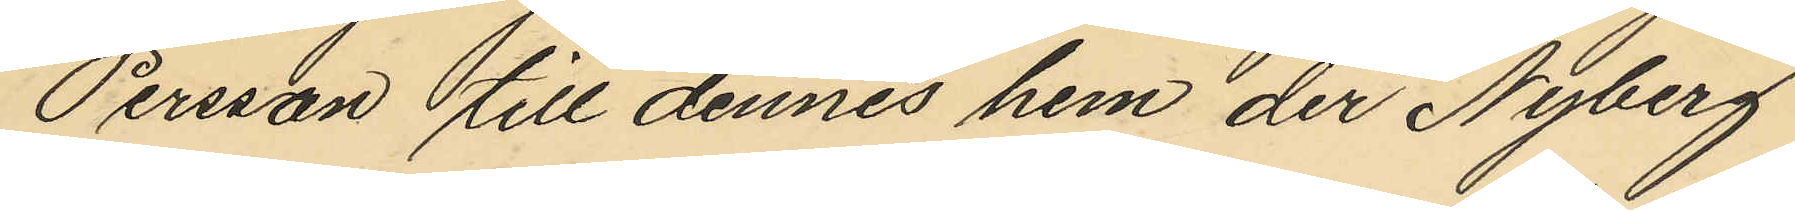Persson till dennes hem der Nyberg
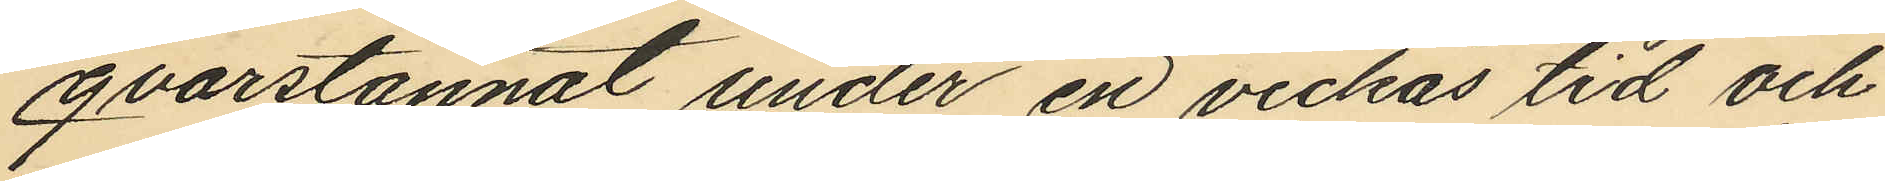qvarstannat under en veckas tid och
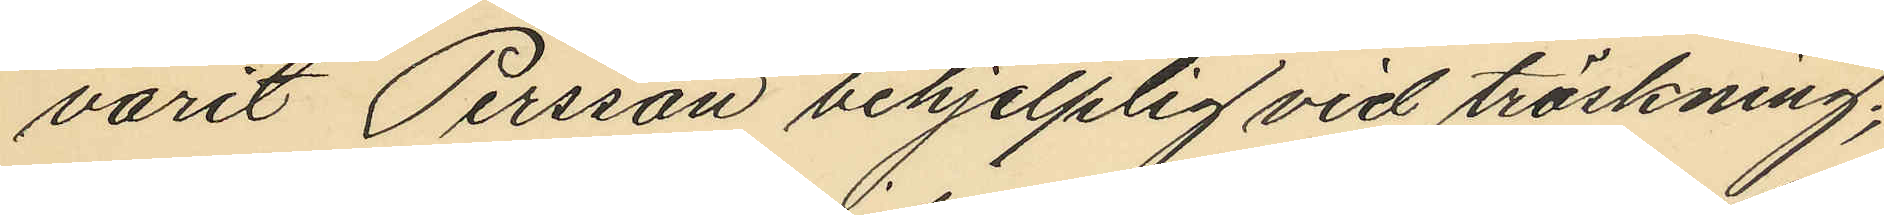varit Persson behjelplig vid tröskning;
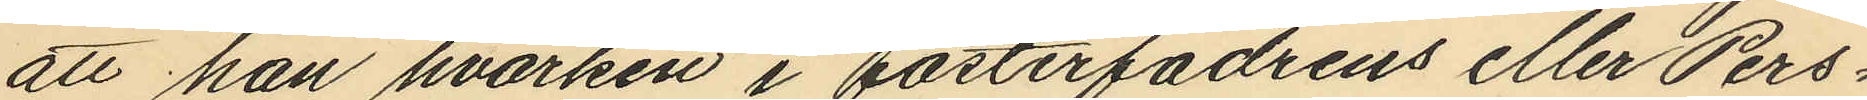att han hvarken i fosterfadrens eller Pers¬
